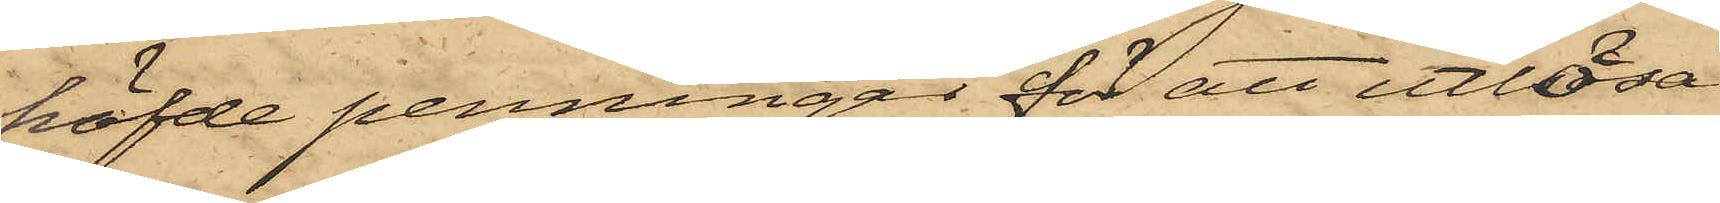höfde penningar för att utlösa
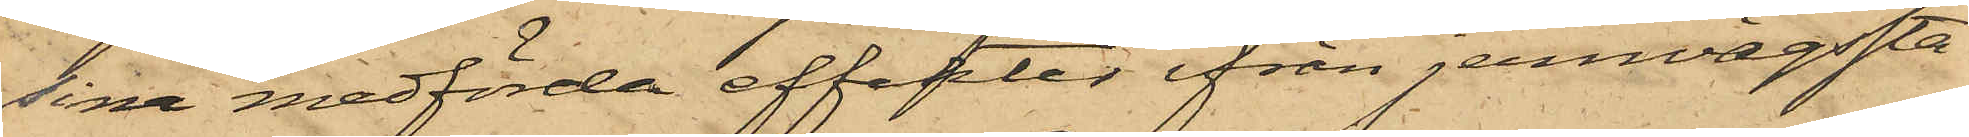sina medförda effekter ifrån jernvägssta¬
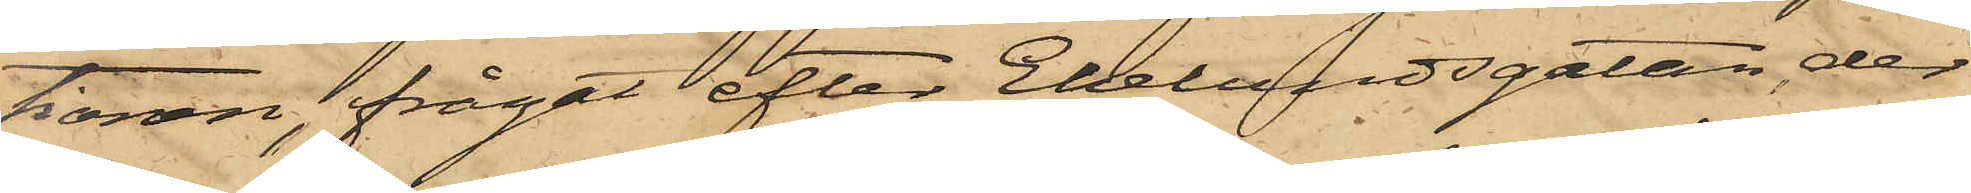tionen, frågat efter Ekelundsgatan, der
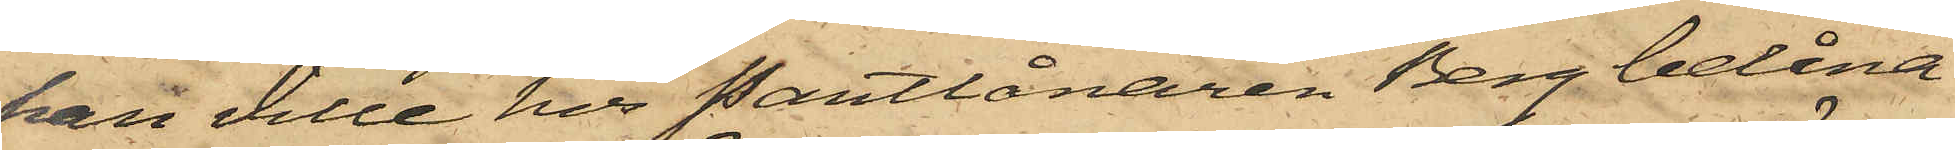han ville hos Pantlånaren Berg belåna
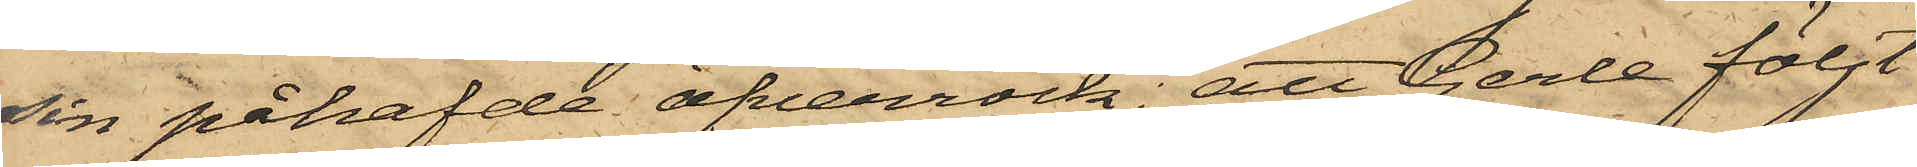sin påhafde öfverrock; att Gerle följt
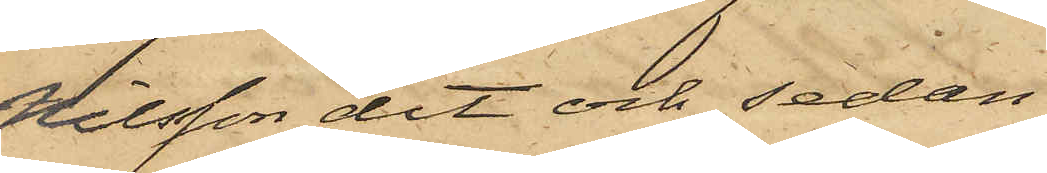Nilsson dit och sedan
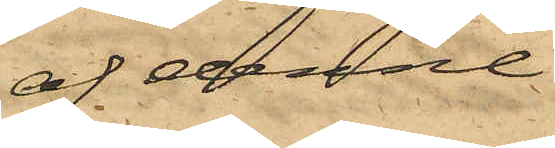af denne
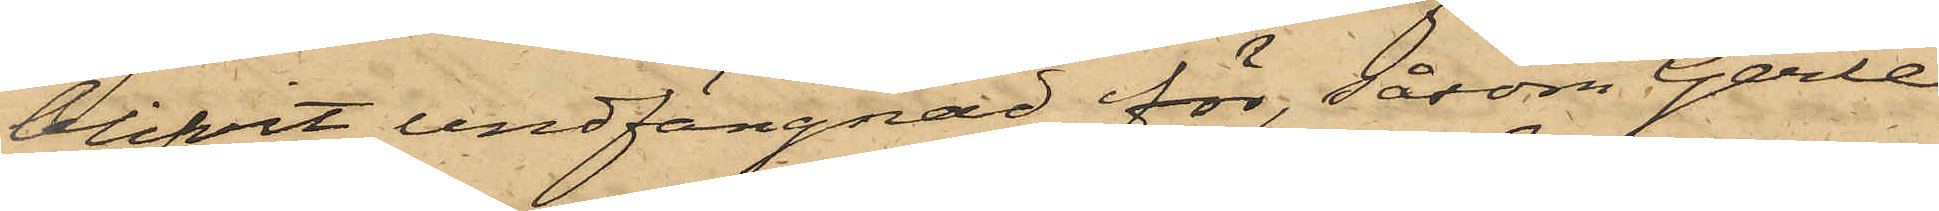blifvit undfängnad för, såsom Gerle
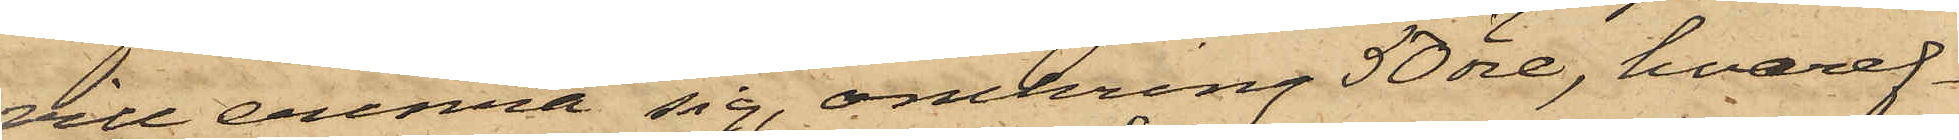vill erinra sig, omkring 50 öre, hvaref¬
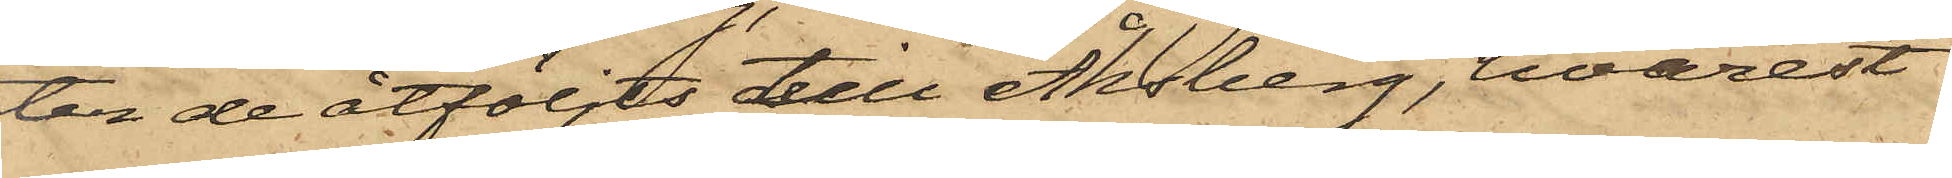ter de åtföljts till Åhsberg, hvarest
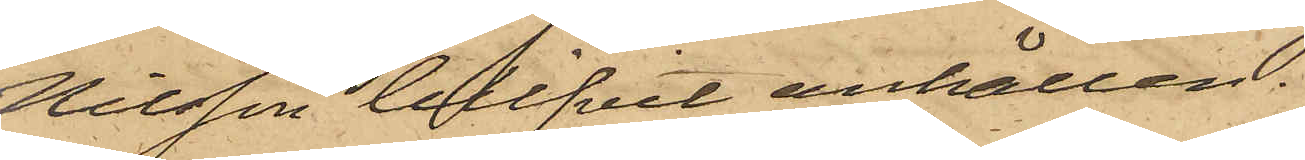Nilsson blifvit anhållen.
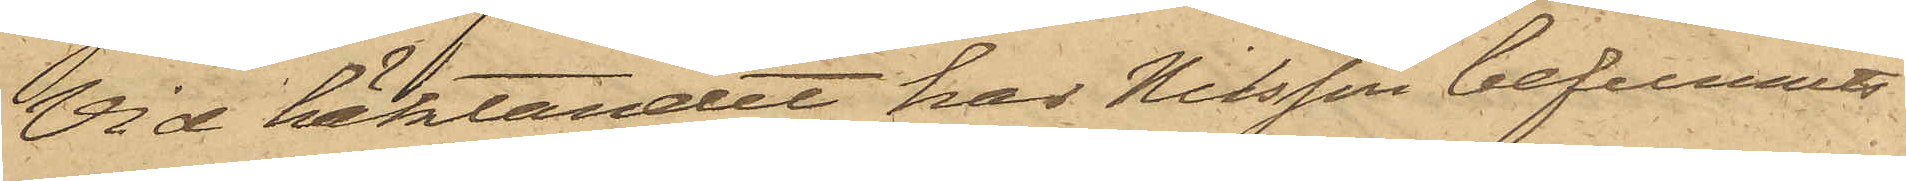Vid häktandet har Nilsson befunnits
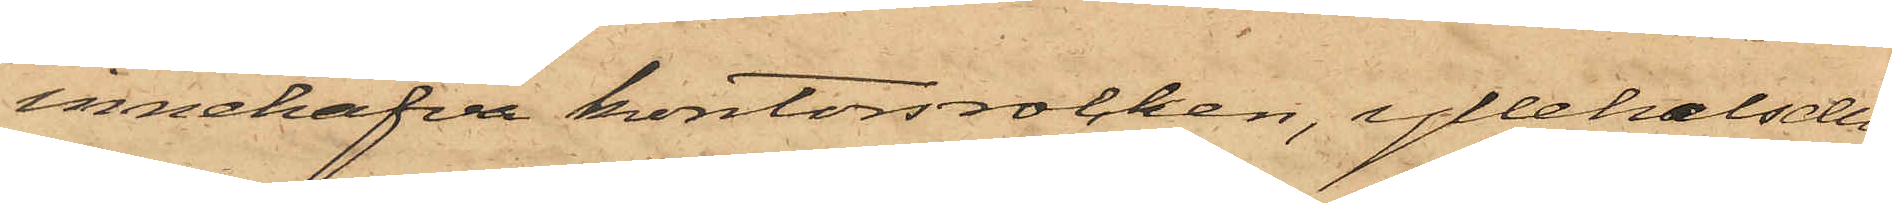innehafva kontorsrocken, yllehalsdu¬
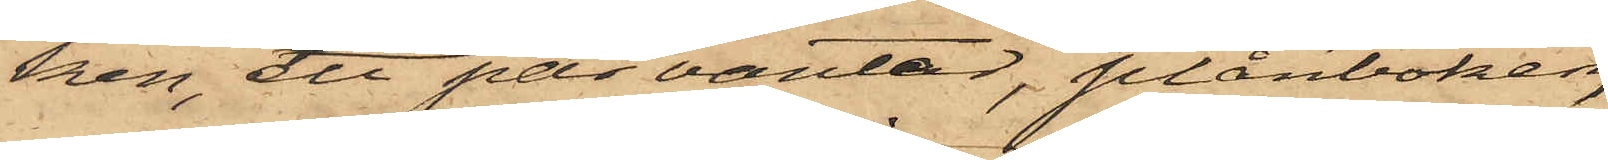ken, ett par vantar, plånboken,
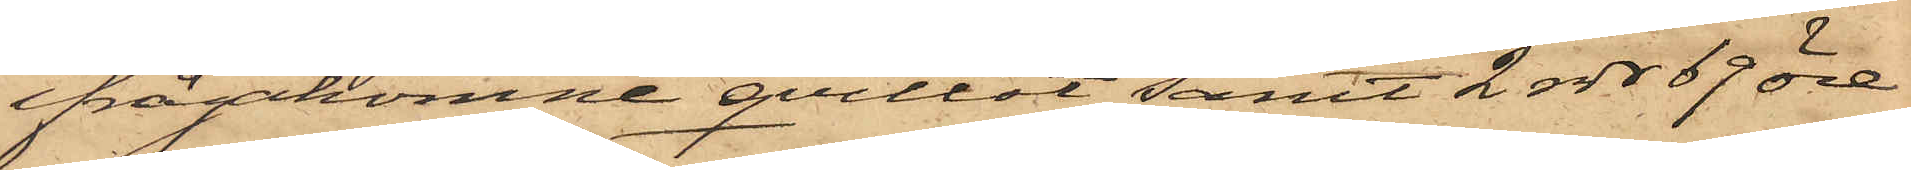ifrågakomne qvittot samt 2 rdr 69 öre
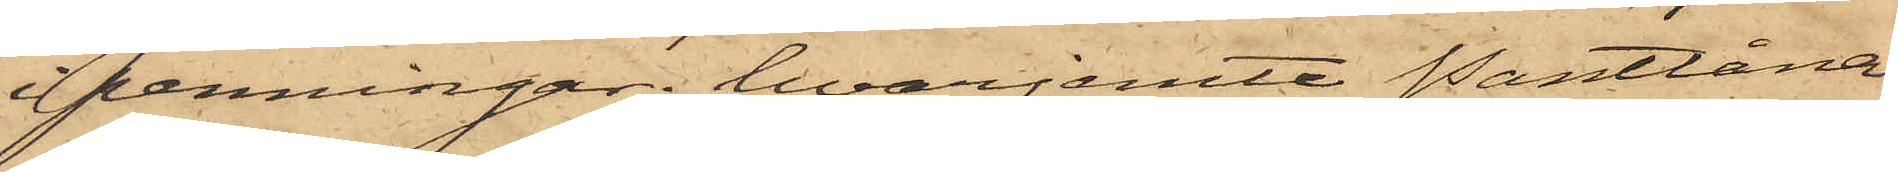i penningar, hvarjemte Pantlåna¬
